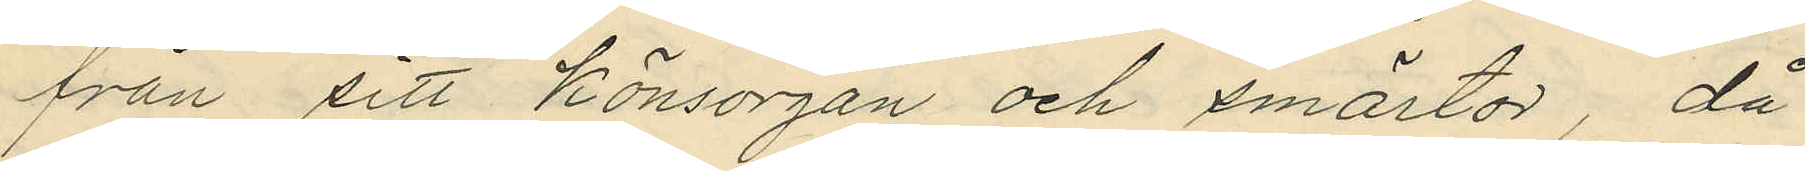från sitt könsorgan och smärtor, då
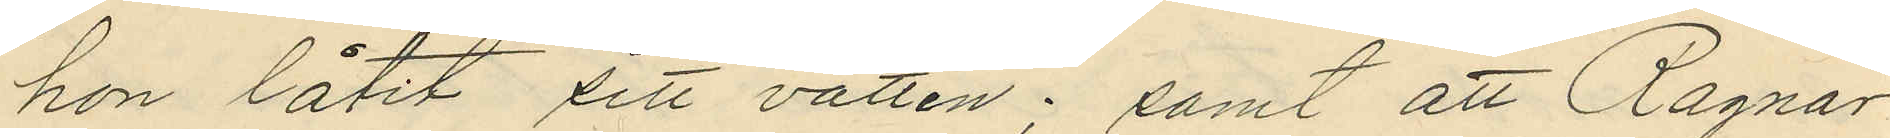hon låtit sitt vatten; samt att Ragnar
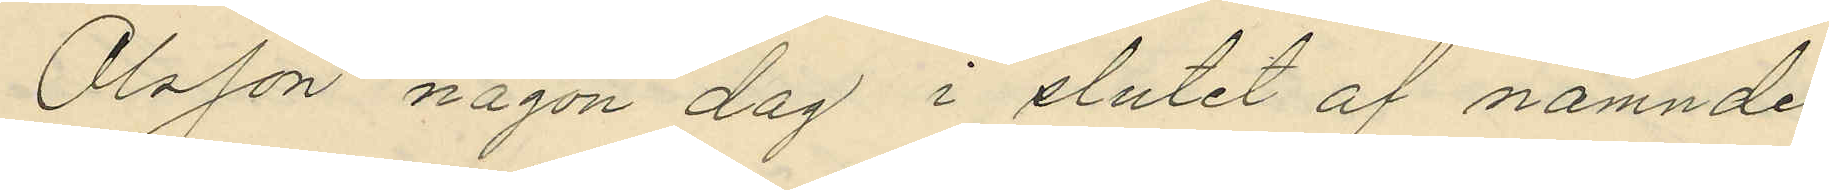Olsson någon dag i slutet af nämnde
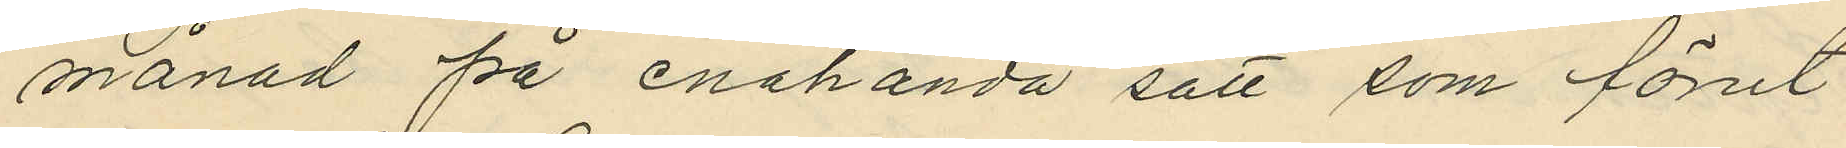månad på enahanda sätt som förut
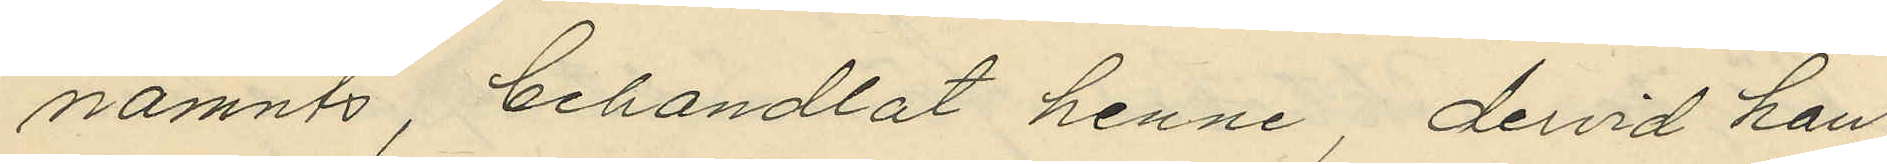nämnts, behandlat henne dervid han
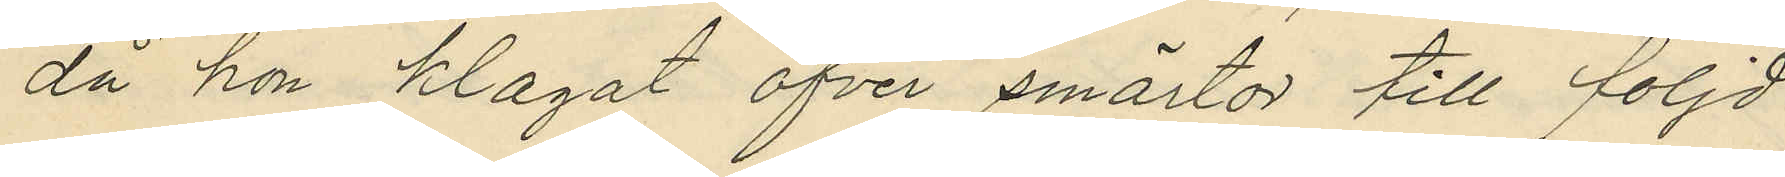då hon klagat öfver smärtor till följd
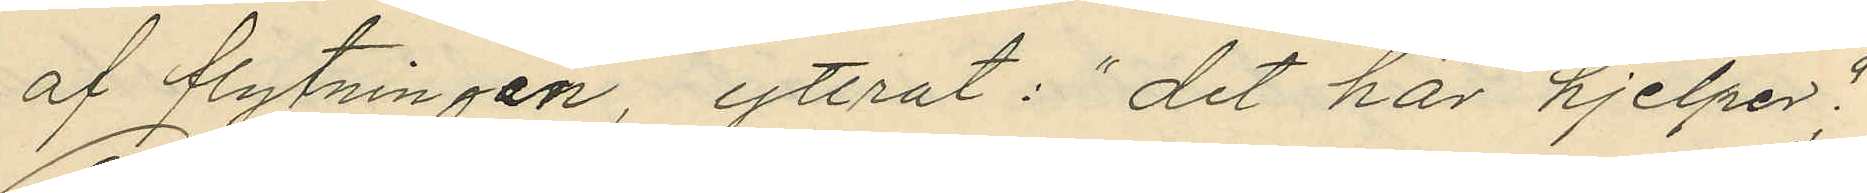af flytningen, yttrat: "det här hjelper";
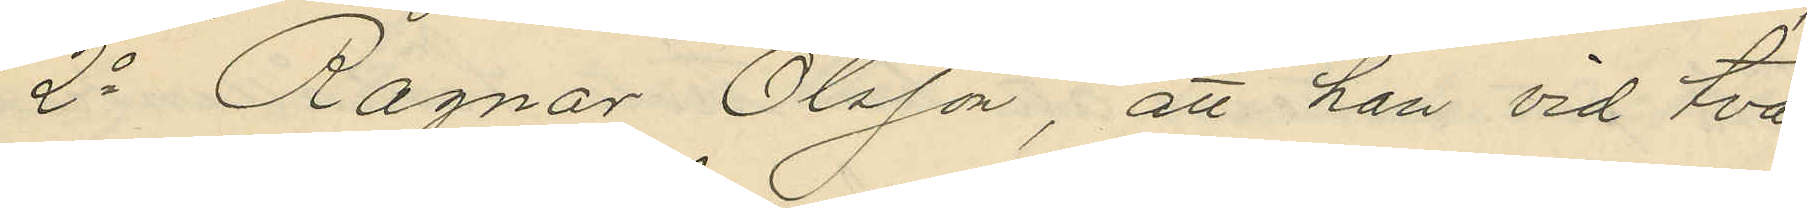2o Ragnar Olsson, att han vid två
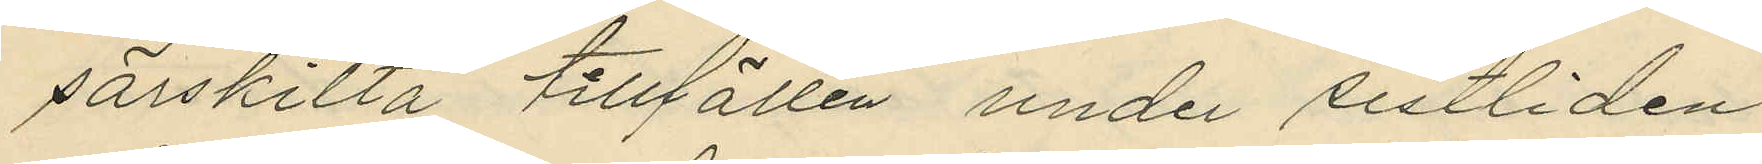särskilta tillfällen under sistliden
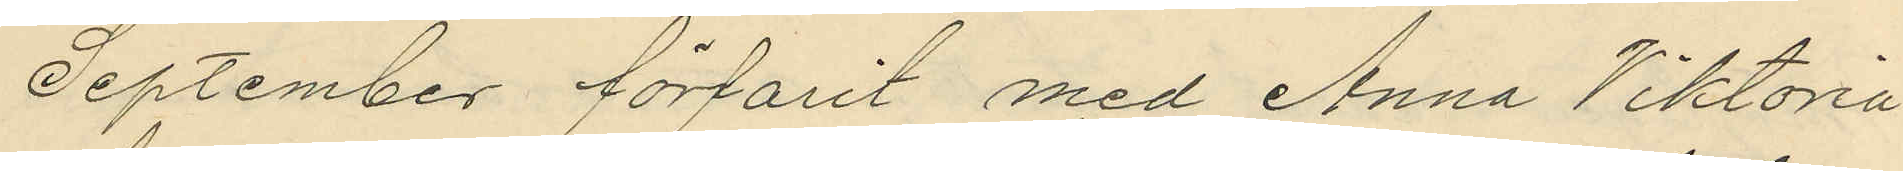September förfarit med Anna Viktoria
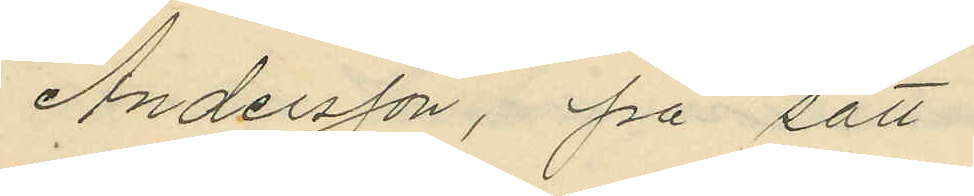Andersson, på sätt
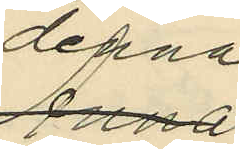denna
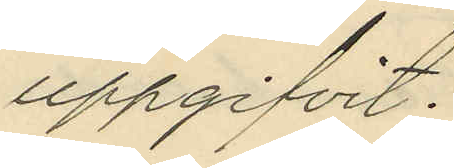uppgifvit.
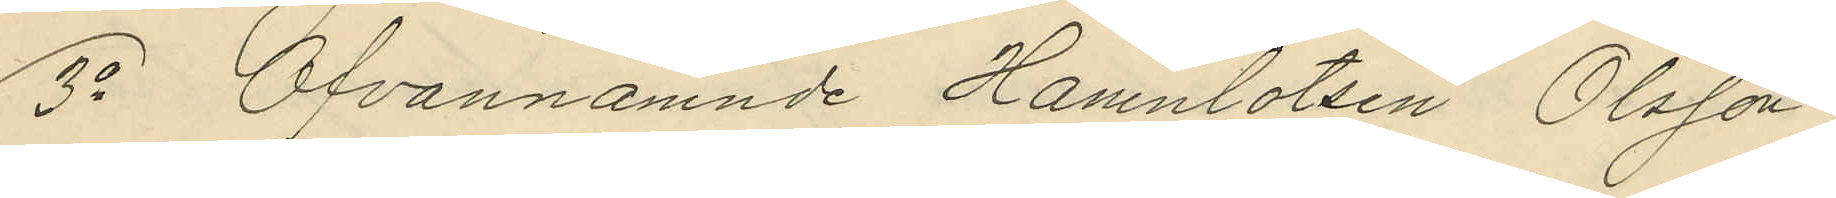3o Ofvannämnde Hamnlotsen Olsson,
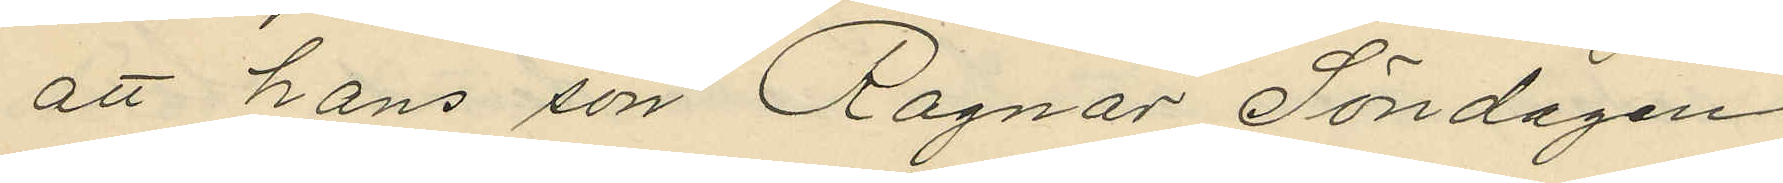att hans son Ragnar Söndagen
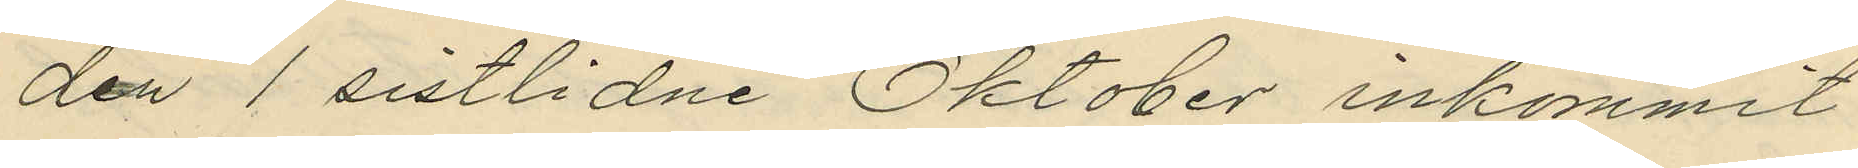den 1 sistlidne Oktober inkommit
